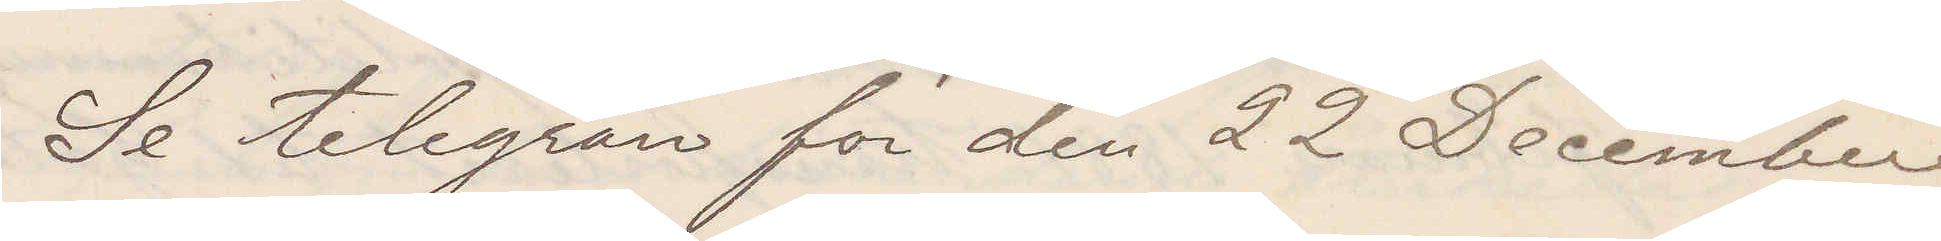Se telegram för den 22 December
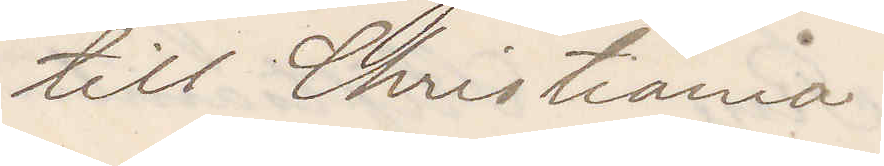till Christiania.
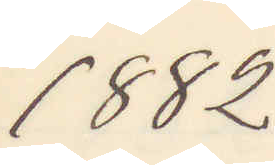1882
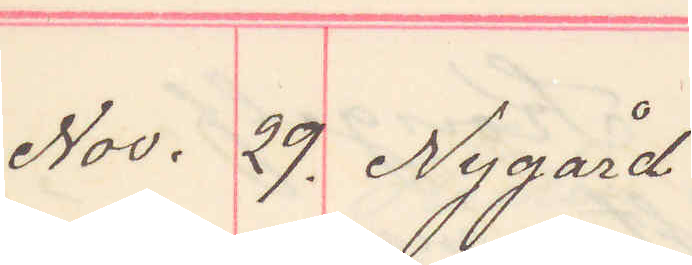Nov. 29. Nygård
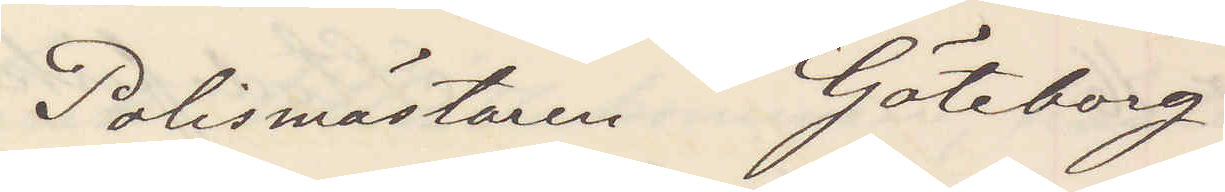Polismästaren Göteborg
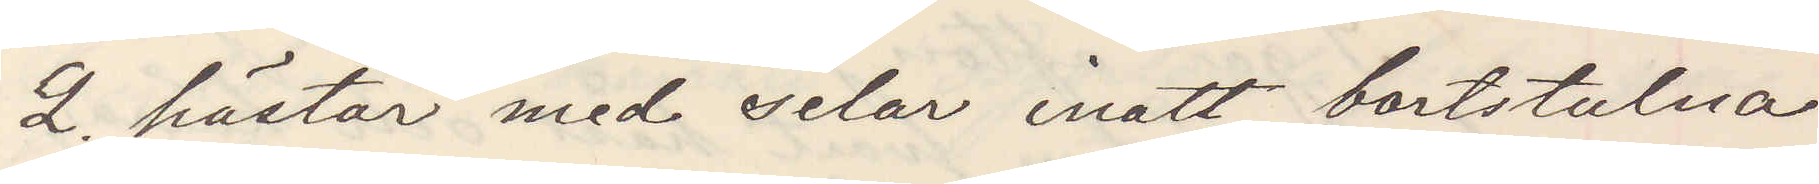2 hästar med selar inatt bortstulna
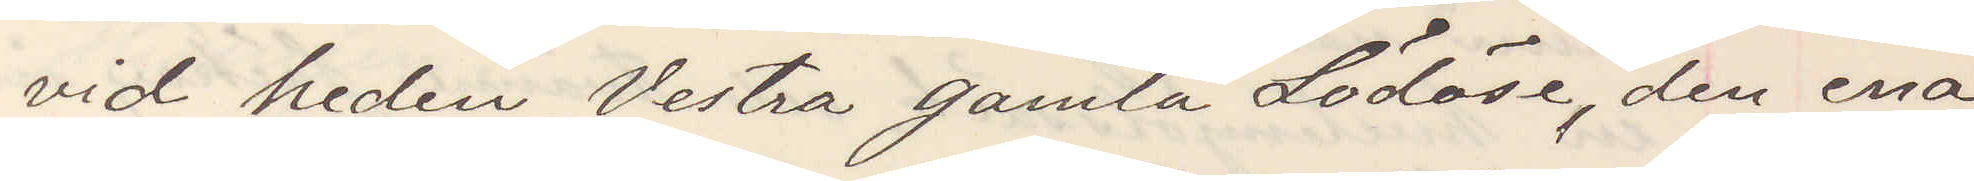vid heden Vestra gamla Lödöse, den ena
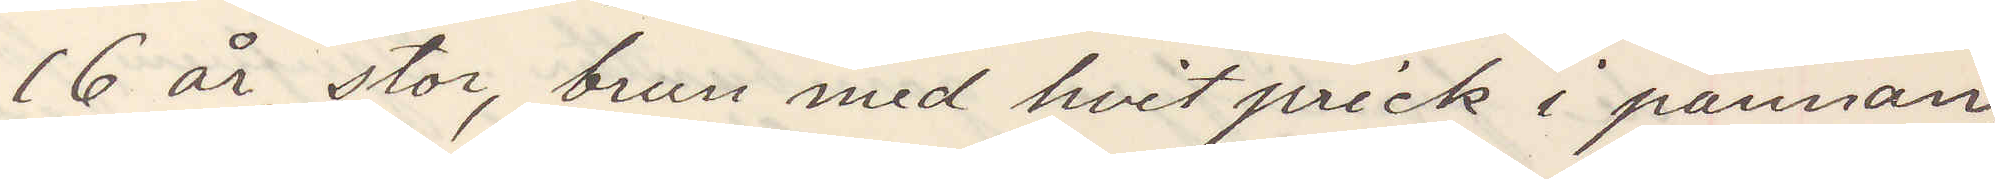16 år, stor, brun med hvit prick i pannan,
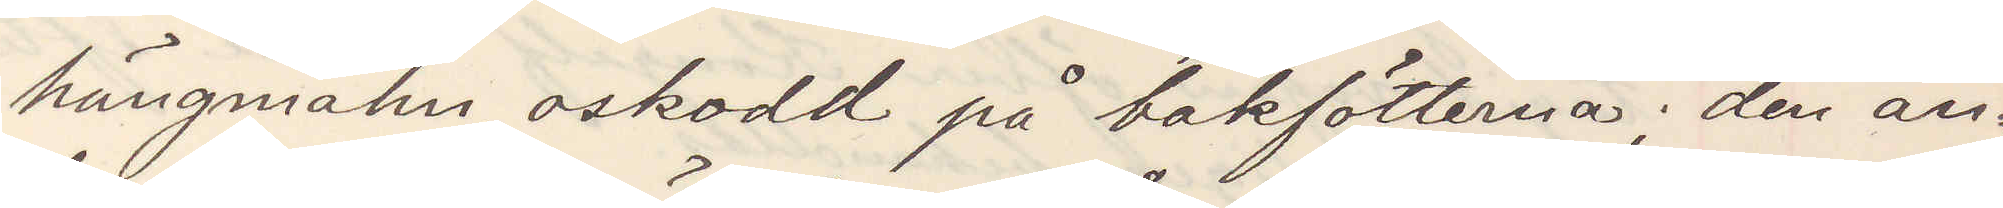hängmahn, oskodd på bakfötterna; den an¬
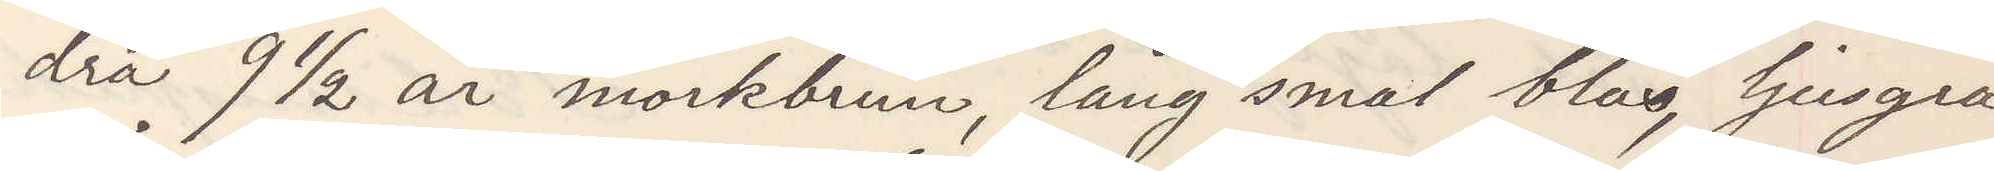dra 9 ½ år mörkbrun, lång smal bläs ljusgrå
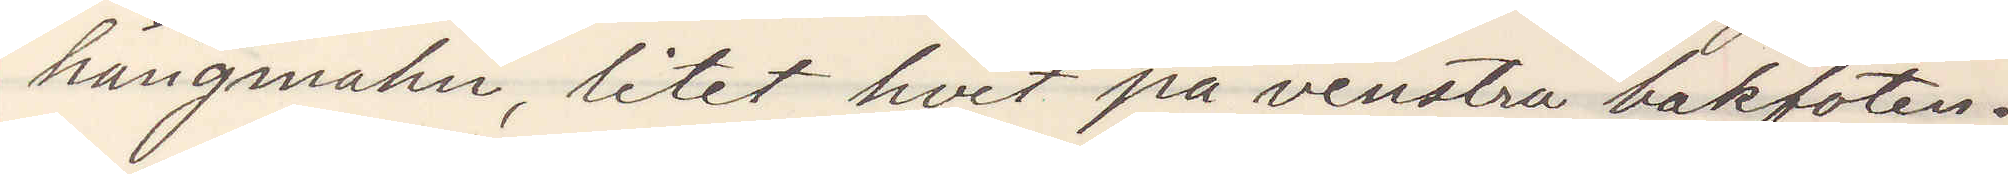hängmahn, litet hvit på venstra bakfoten.
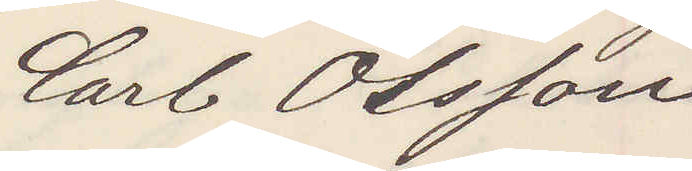Carl Olsson
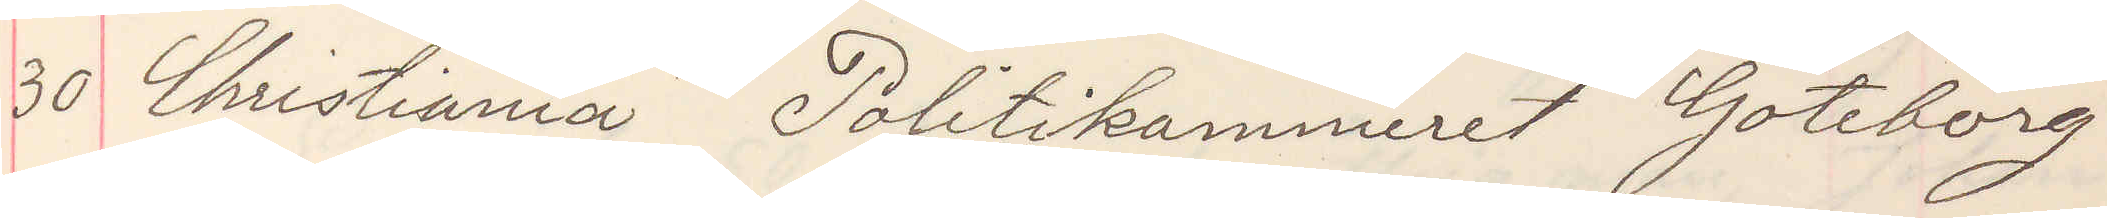30 Christiania Politikammeret Göteborg
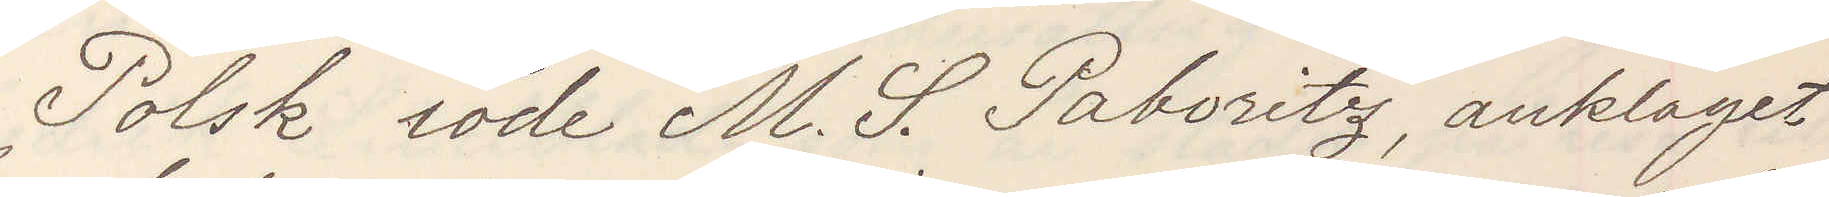Polsk iöde M. S. Paboritz, anklaget
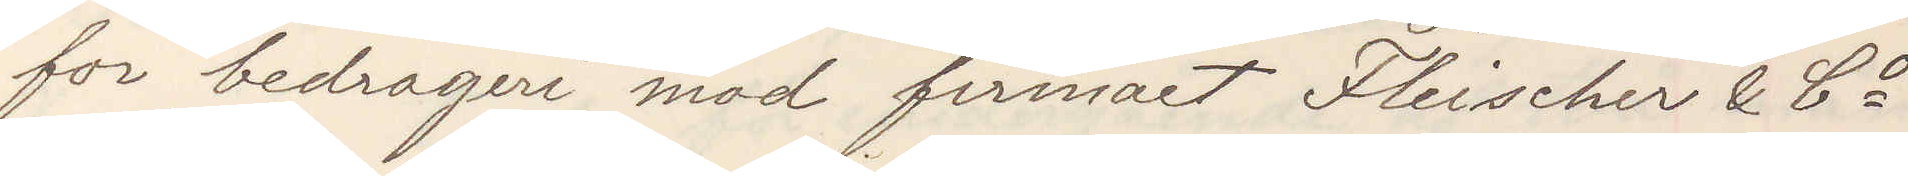for bedragere mod firmaet Fleischer & Co
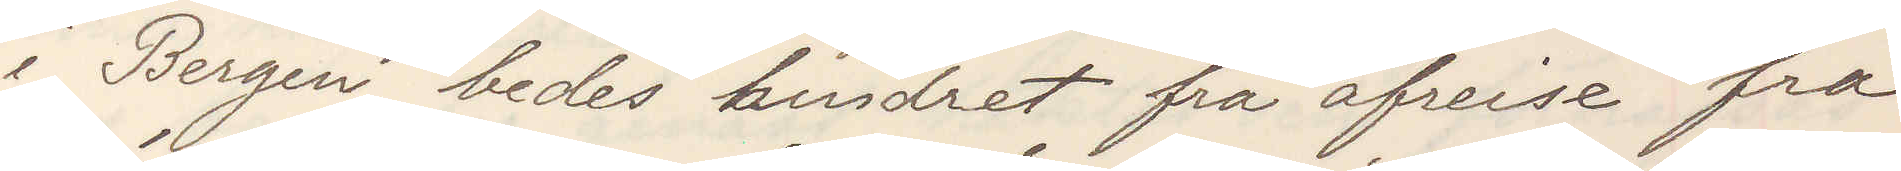i Bergen, bedes hindret fra afreise fra
